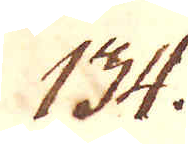134.
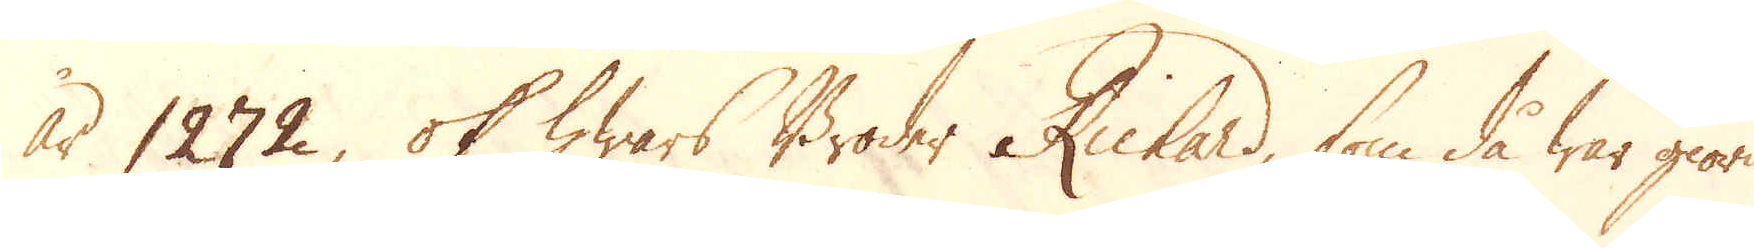år 1272, ok hwars Broder Richard, som då war giord
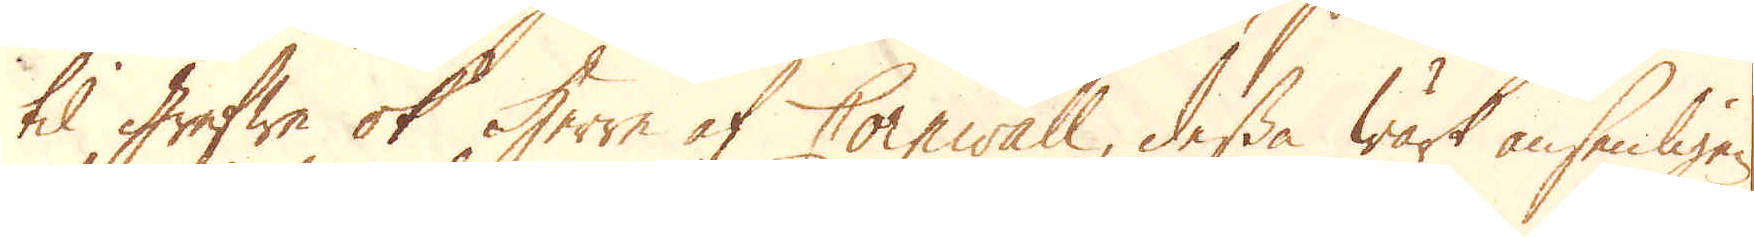til Grefwe ok Herre af Cornwall, dessa Wärk ansenligen
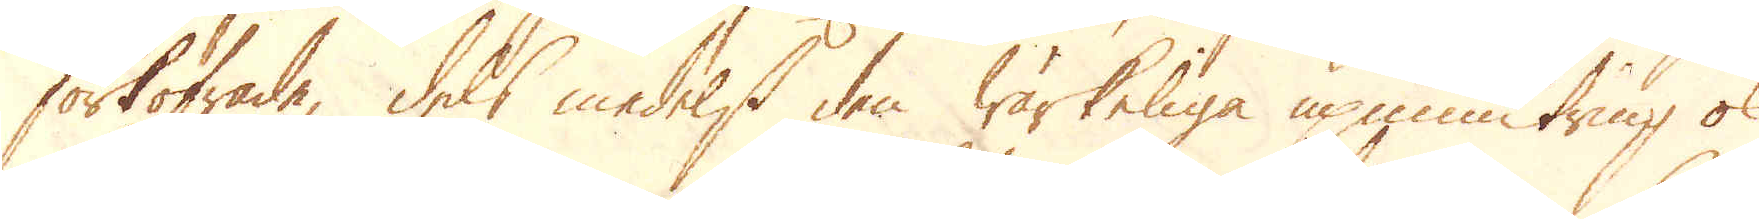förkofrade, dels medelst den wärkeliga upmuntring ok
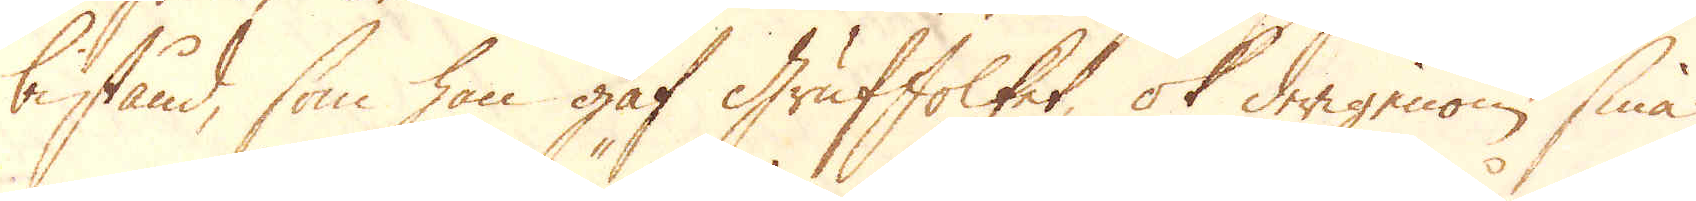bistånd, som han gaf Gruffolket, ok derigenom sina
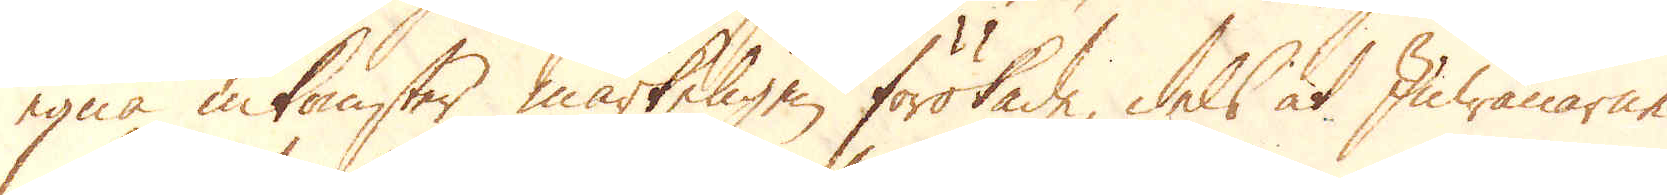egna inkomster märkeligen förökade, dels at Inwånarne
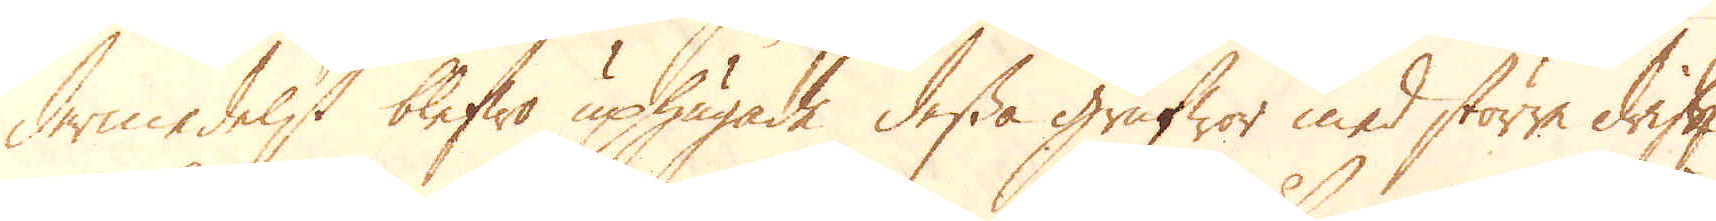dermedelst blefwo uphugade dessa Grufwor med större drift
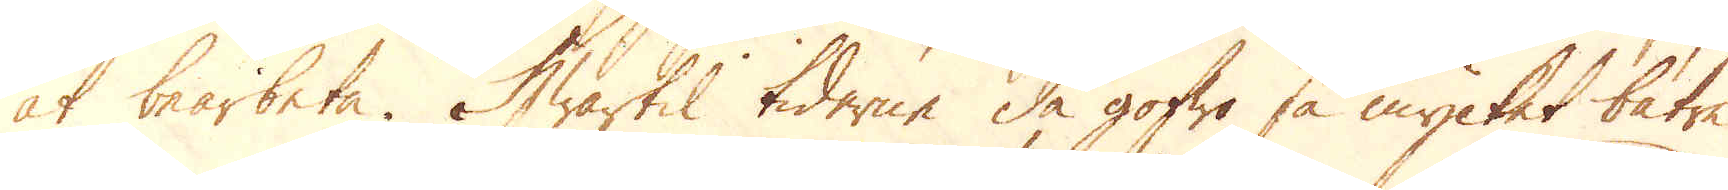at bearbeta. Hwartil tiderne då gofwo så mycket bätre
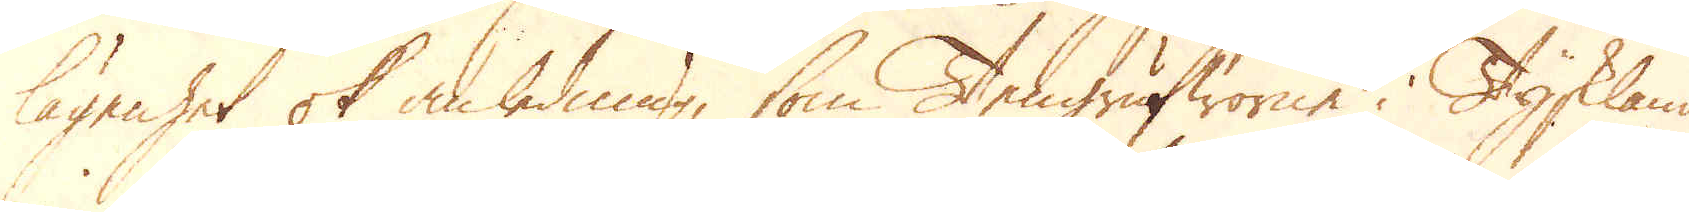lägenhet ok anledning, som Tengrufworne i Tyskland
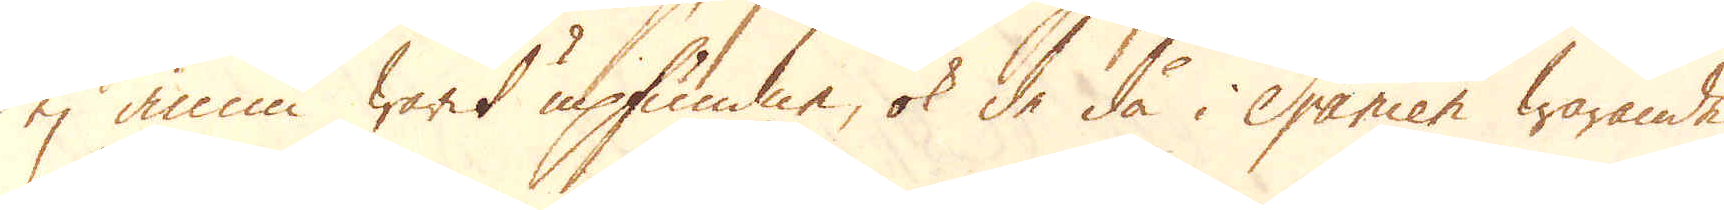ej ännu warit upfundne, ok de då i Spanien warande
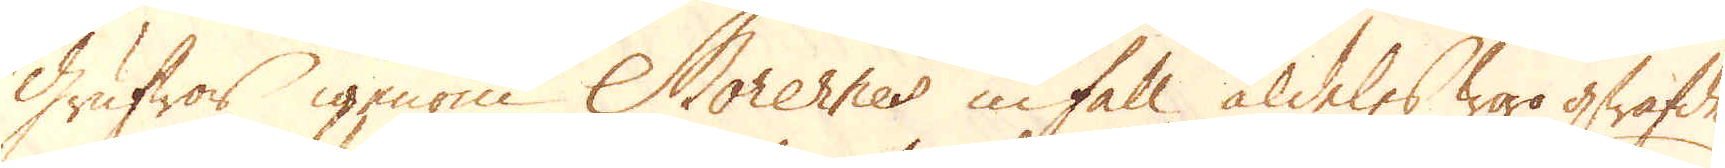Grufwor igenom Morernes infall, aldeles woro qwäfde
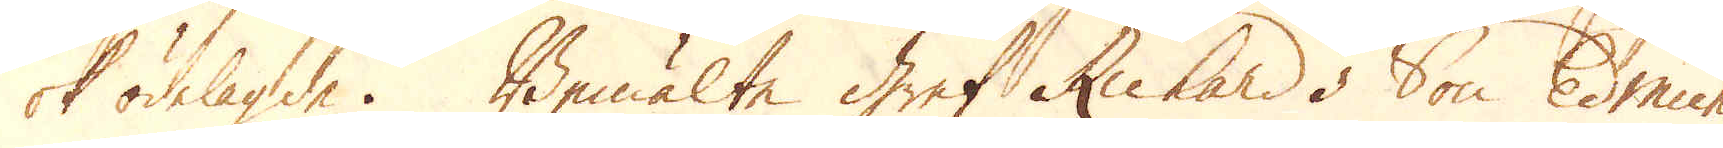ok ödelagde. Bemälte Gref Richards Son Edmund
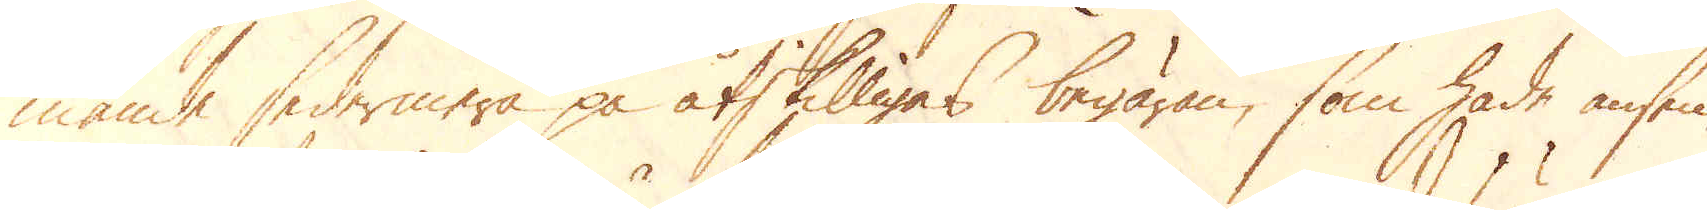månde sedermera på åtskilligas begäran, som hade ansen-
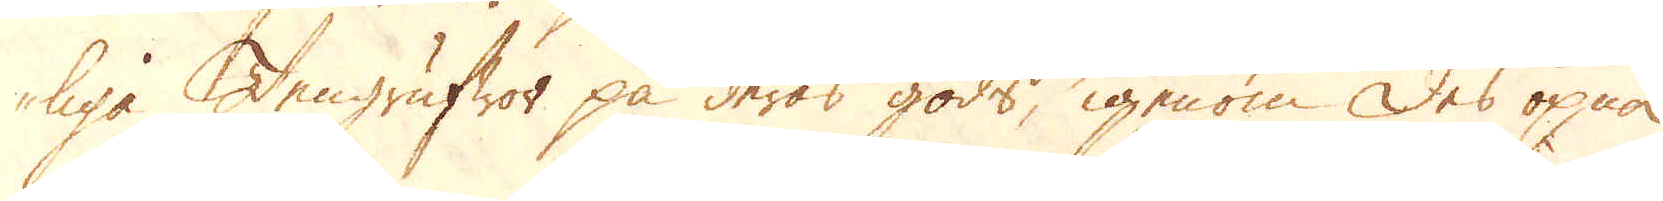liga Tengrufwor på deras gods, igenom des öpna
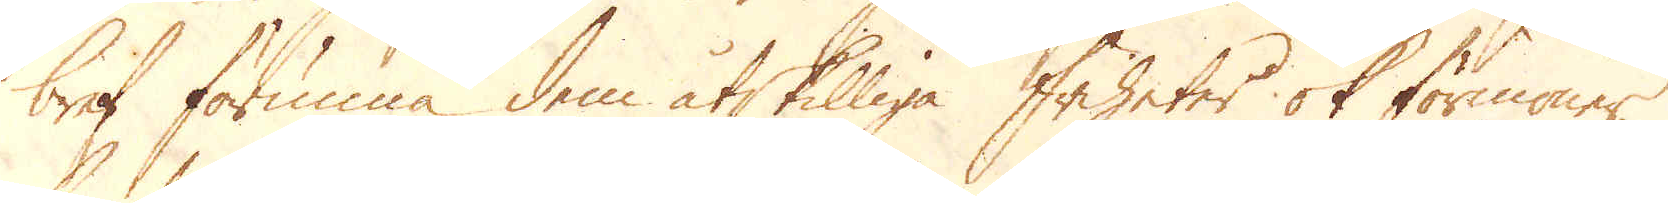bref förunna dem åtskilliga friheter ok förmoner,
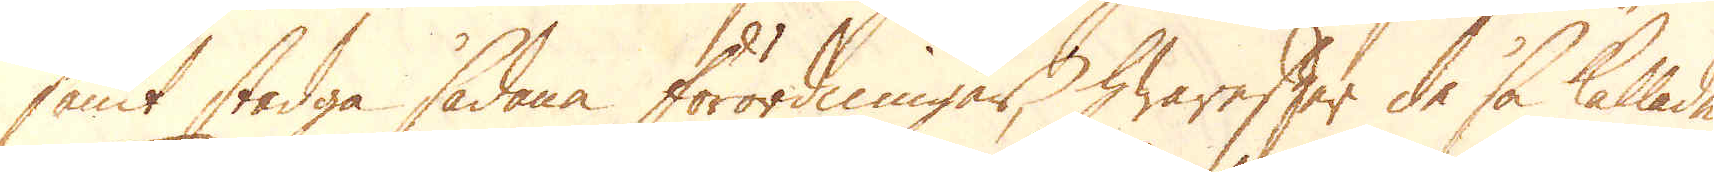samt stadga sådana förordningar, hwarefter de så kallade
